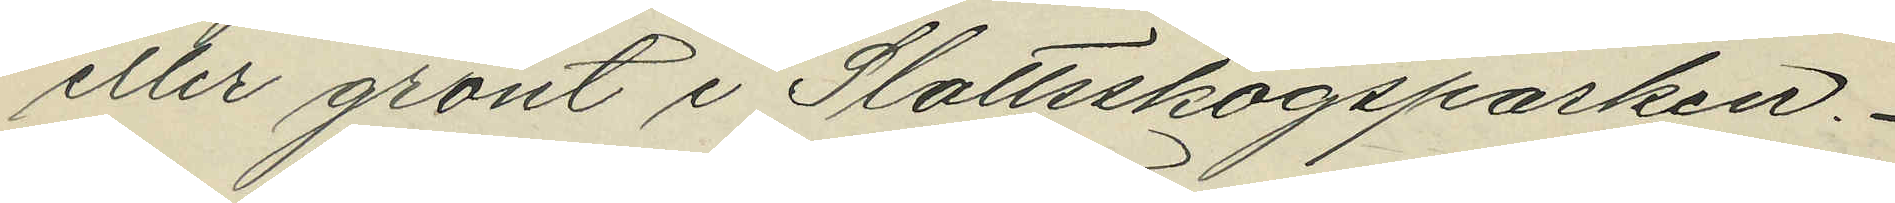eller grönt i Slottsskogsparken.
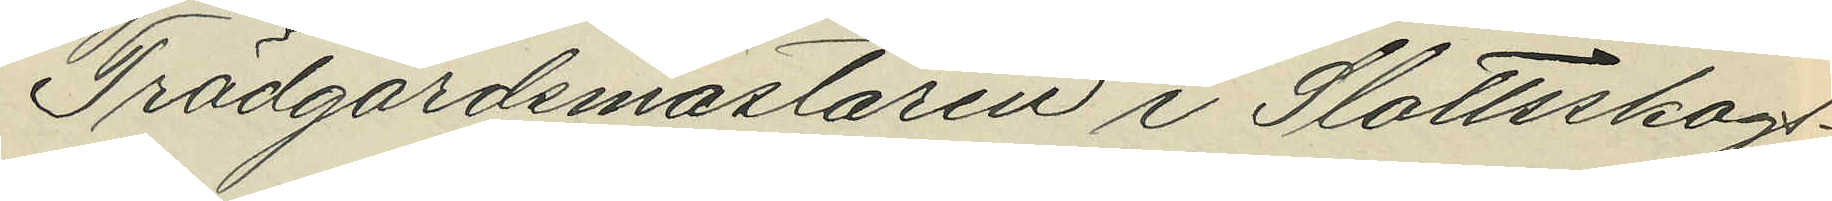Trädgårdsmästaren i Slottsskogs¬
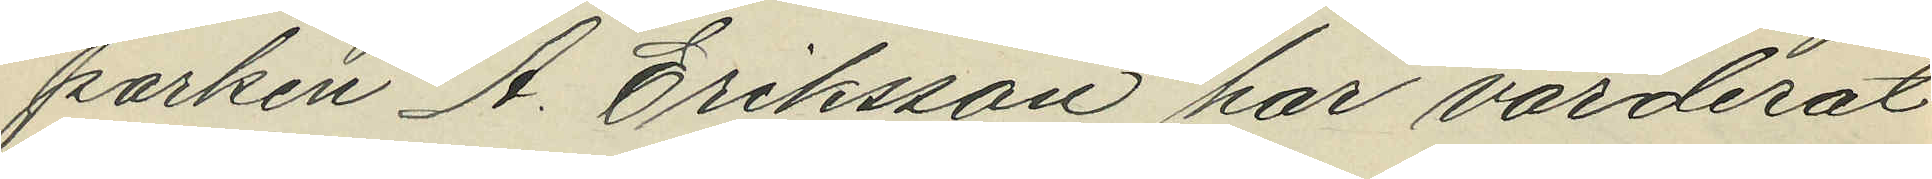parken A. Eriksson har värderat
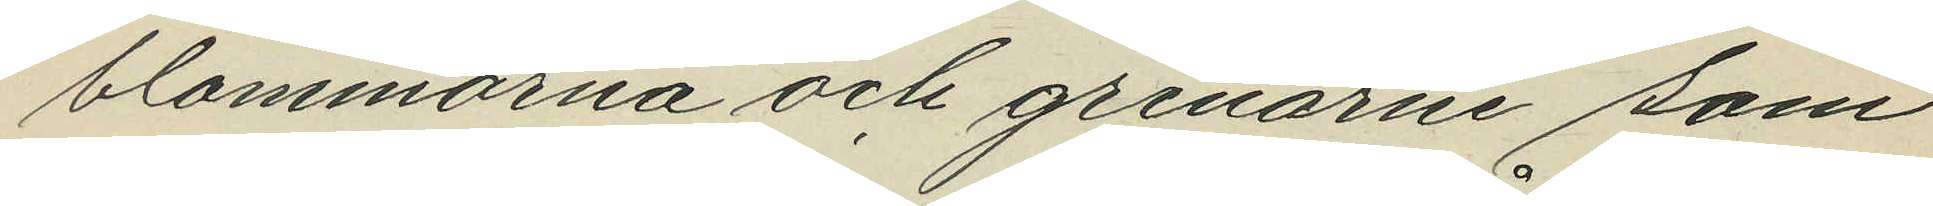blommorna och grenarne som
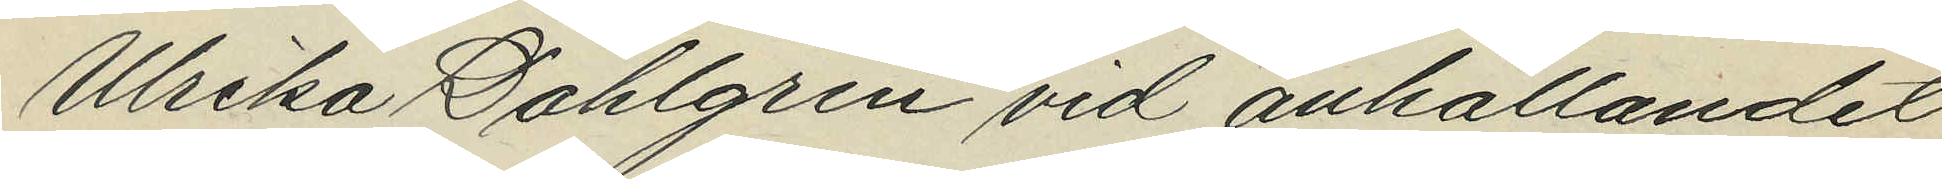Ulrika Dahlgren vid anhållandet
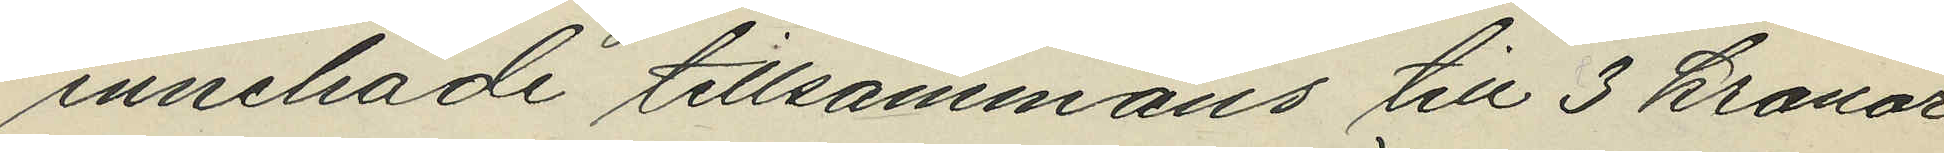innehade tillsammans till 3 kronor
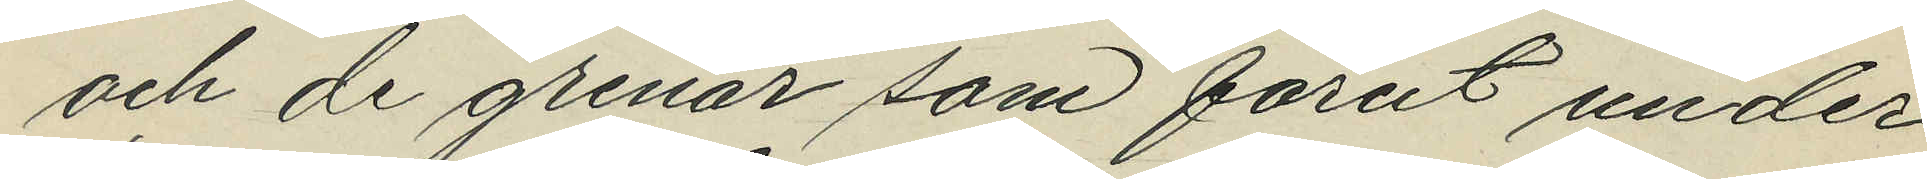och de grenar som förut under
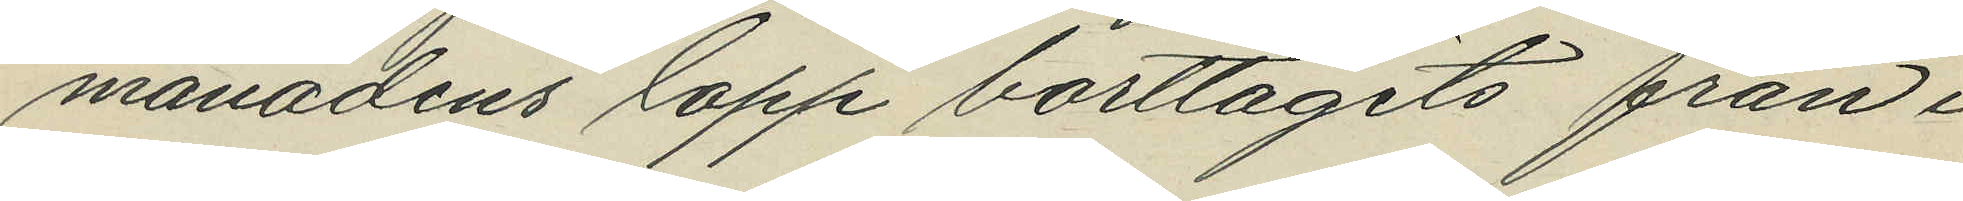månadens lopp borttagits från i
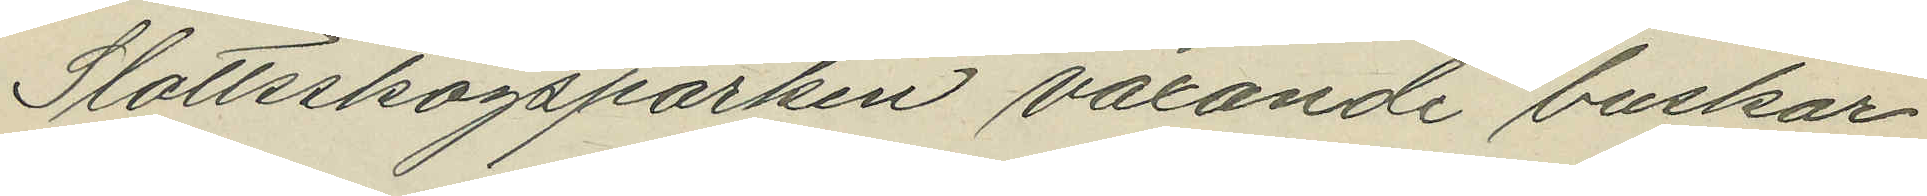Slottsskogsparken vaxande buskar
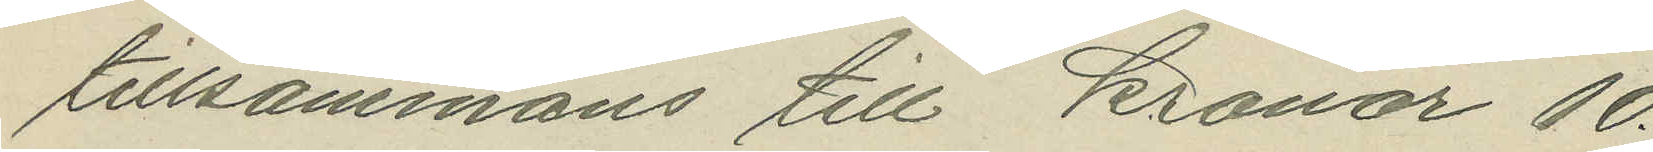tillsammans till kronor 10.
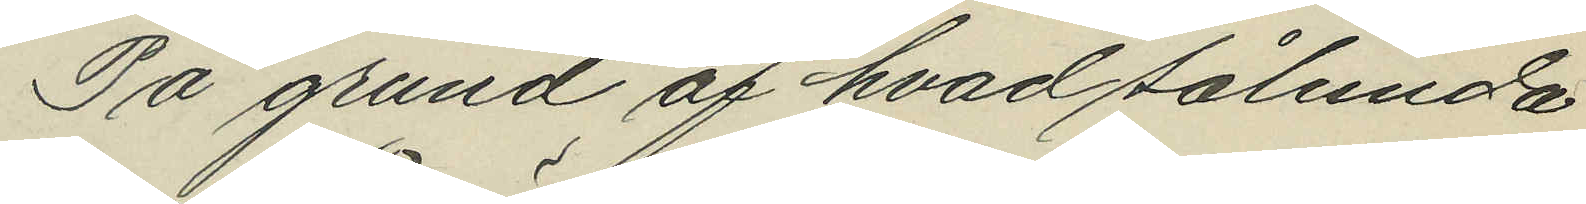På grund af hvad sålunda
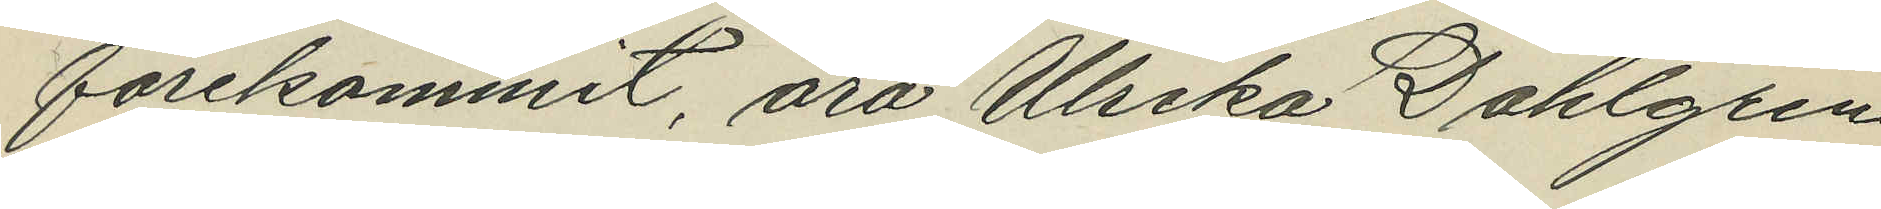förekommit, äro Ulrika Dahlgren
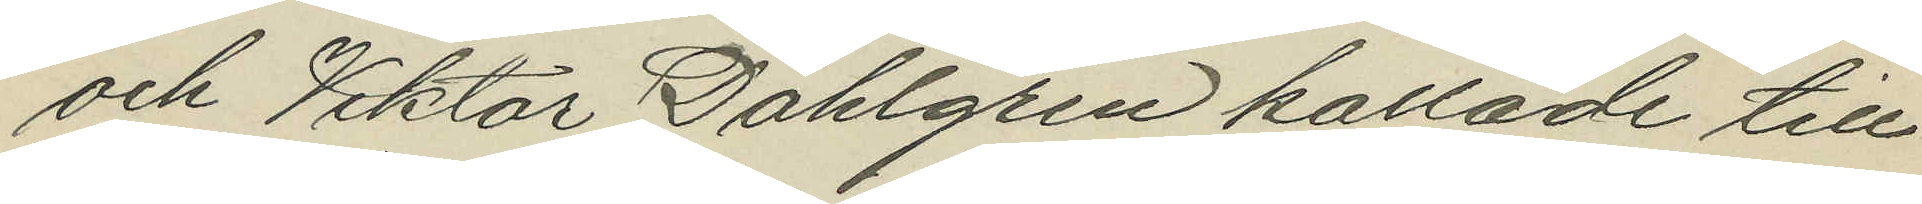och Viktor Dahlgren kallade till
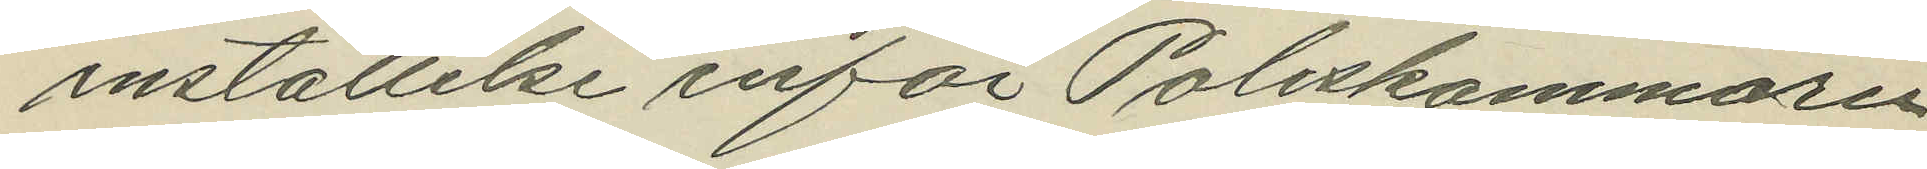inställelse inför Poliskammaren
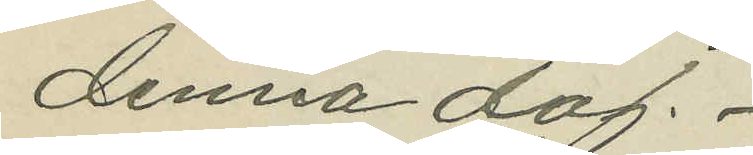denna dag.
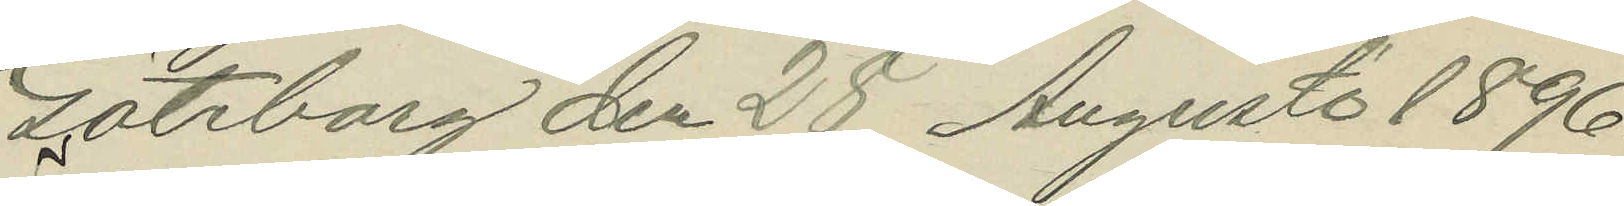Göteborg den 28 Augusti 1896.
